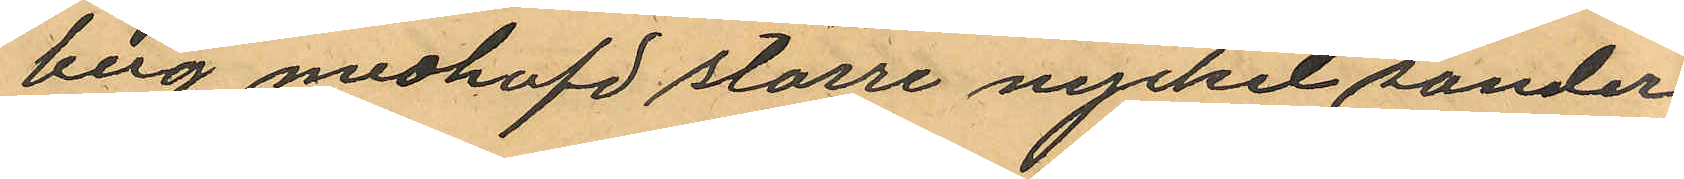berg medhafd större nyckel sonder¬
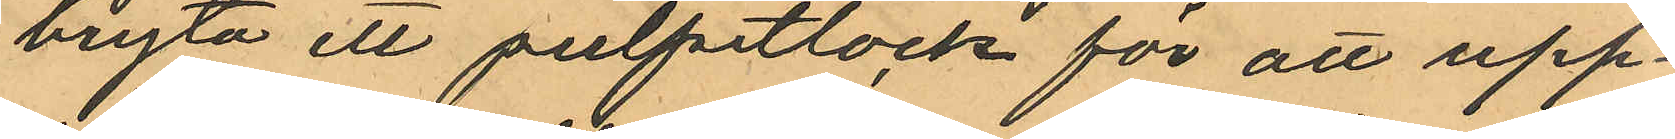bryta ett pulpetlock för att upp¬
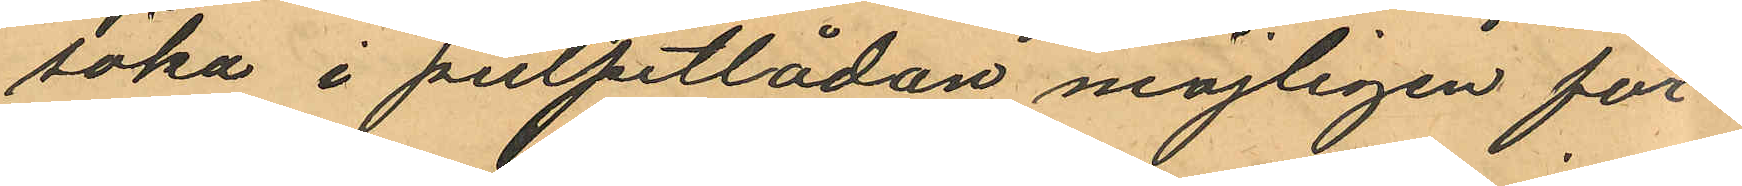söka i pulpetlådan möjligen för¬
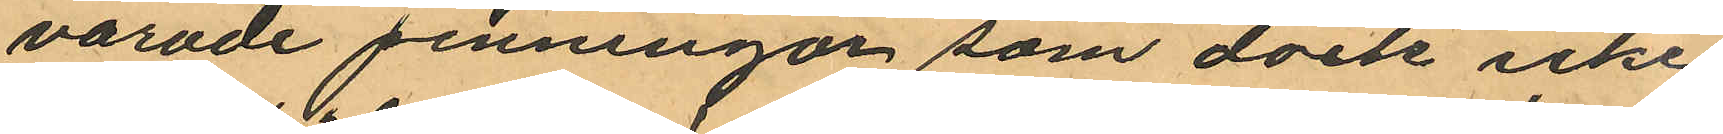varade penningar som dock icke
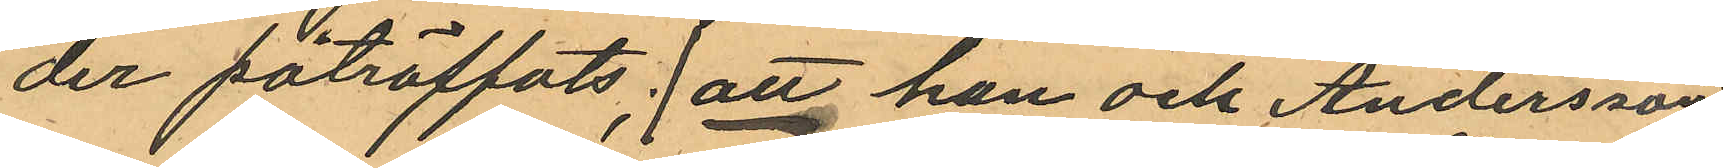der påträffats; att han och Andersson
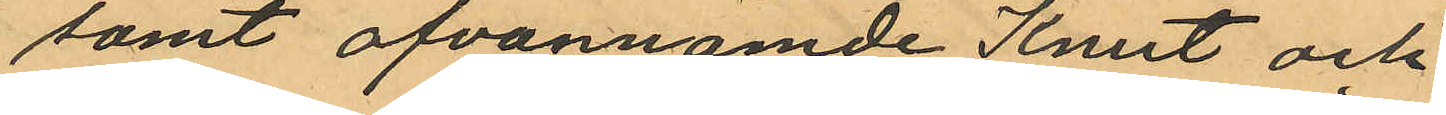samt ofvannämde Knut och
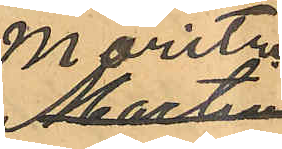Moritz
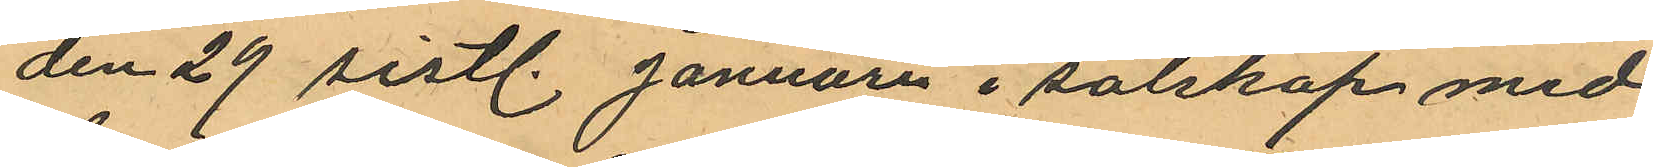den 29 sistl. Januari i sälskap med
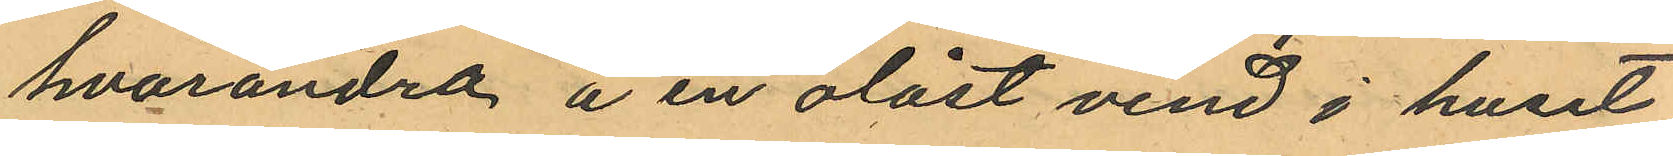hvarandra å en olåst vind i huset
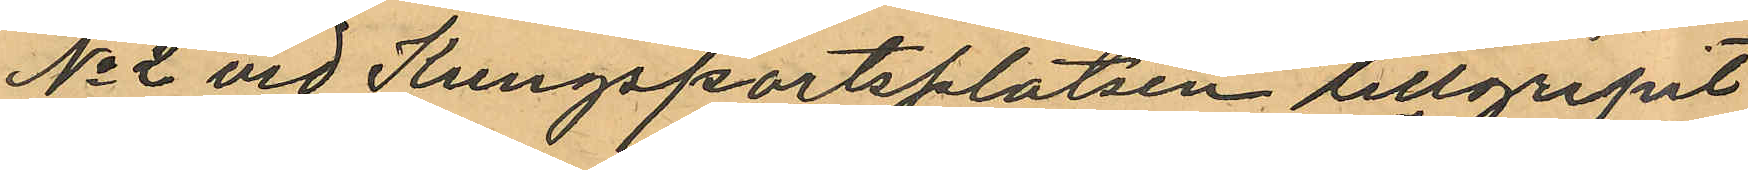No 2 vid Kungsportsplatsen tillgripit
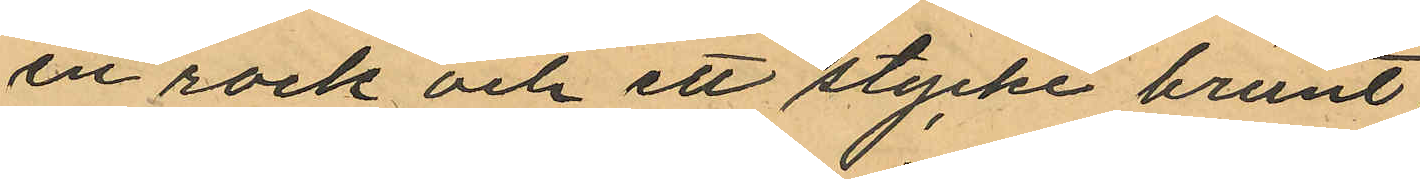en rock och ett stycke brunt
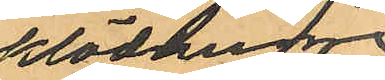klädnings¬
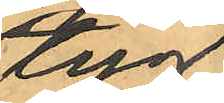tyg
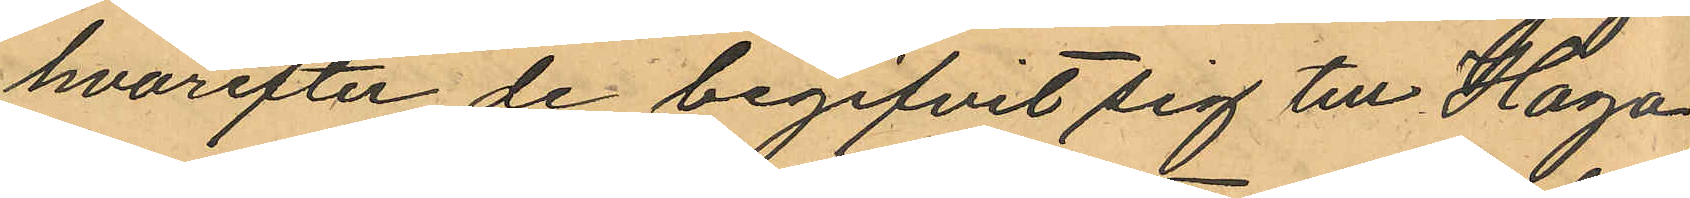hvarefter de begifvit sig till Haga,
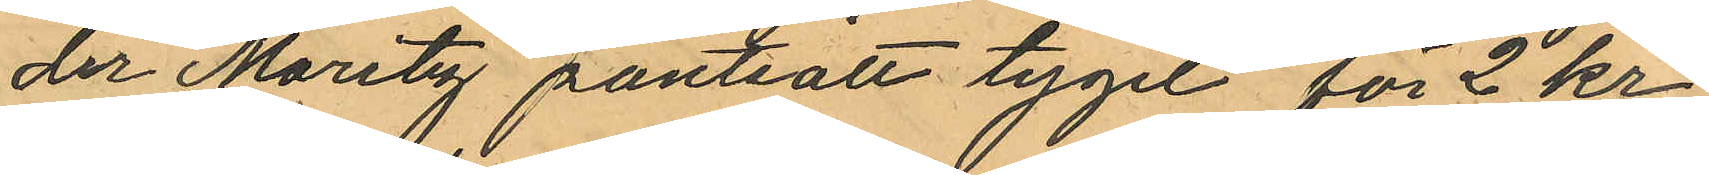der Moritz pantsatt tyget för 2 kr
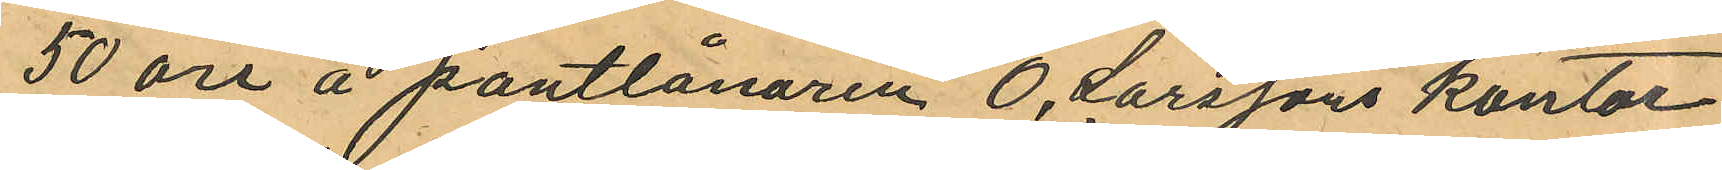50 öre å pantlånaren O. Larssons kontor
